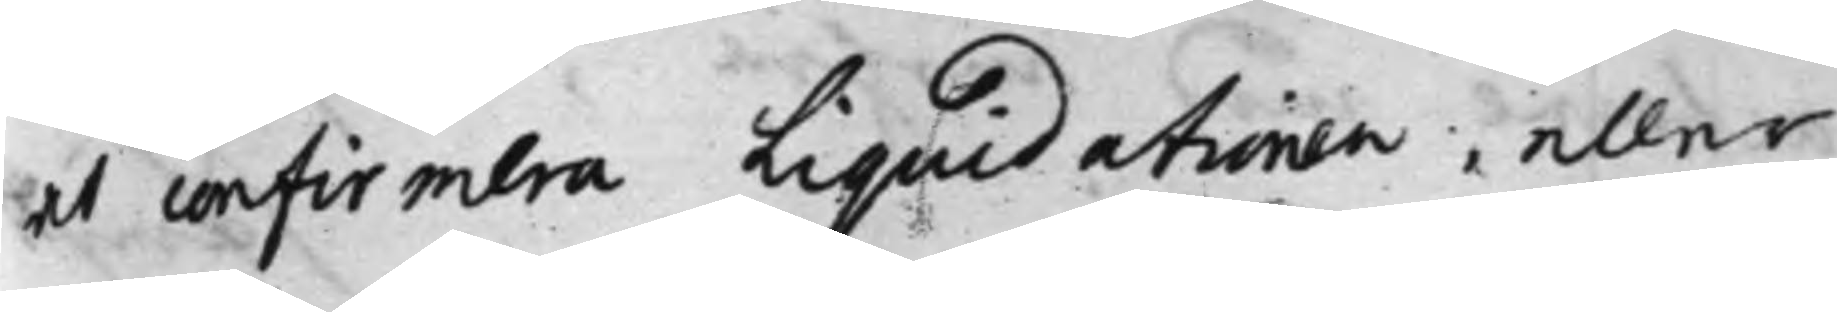at confirmera Liquidationen, eller
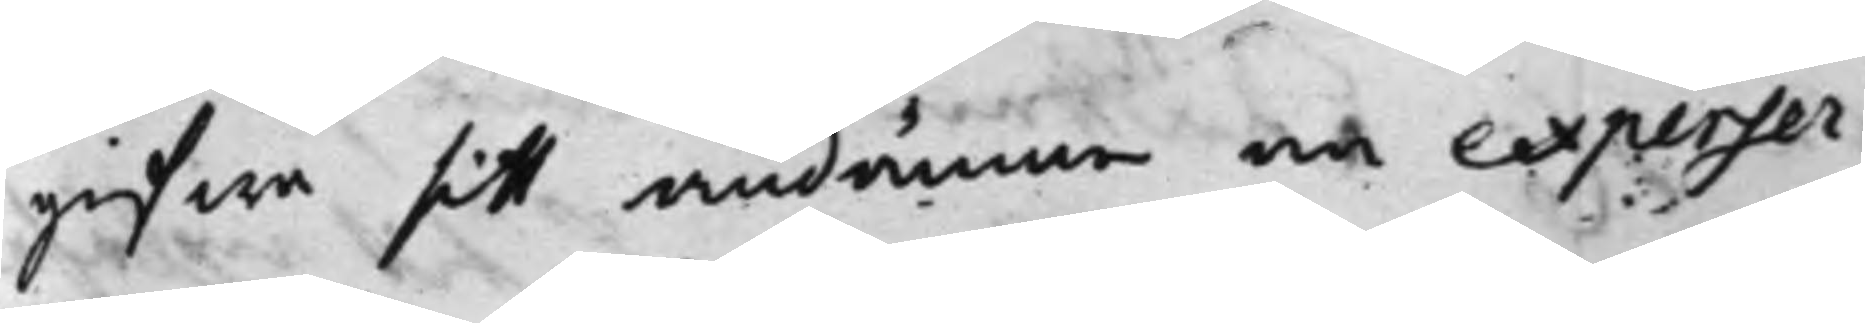gifwa sitt omdömme och expenser¬
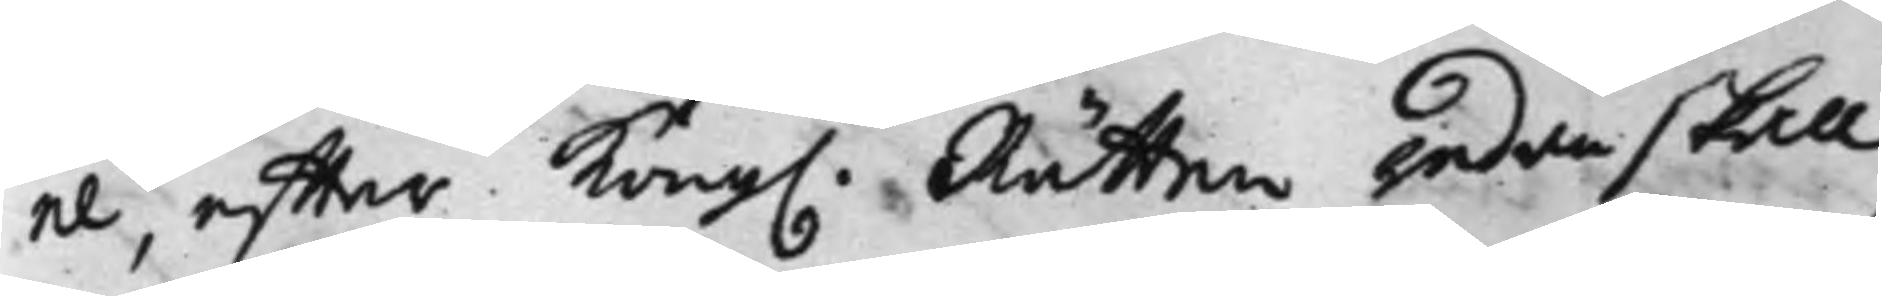ne, effter Kong. Rätten redan skall
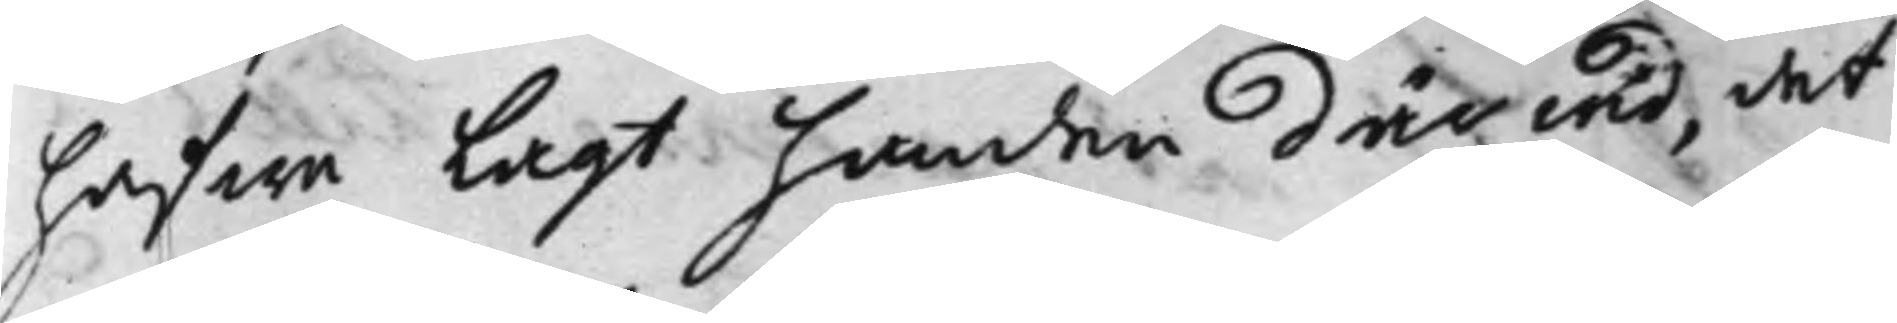hafwa lagt handen där wid, det
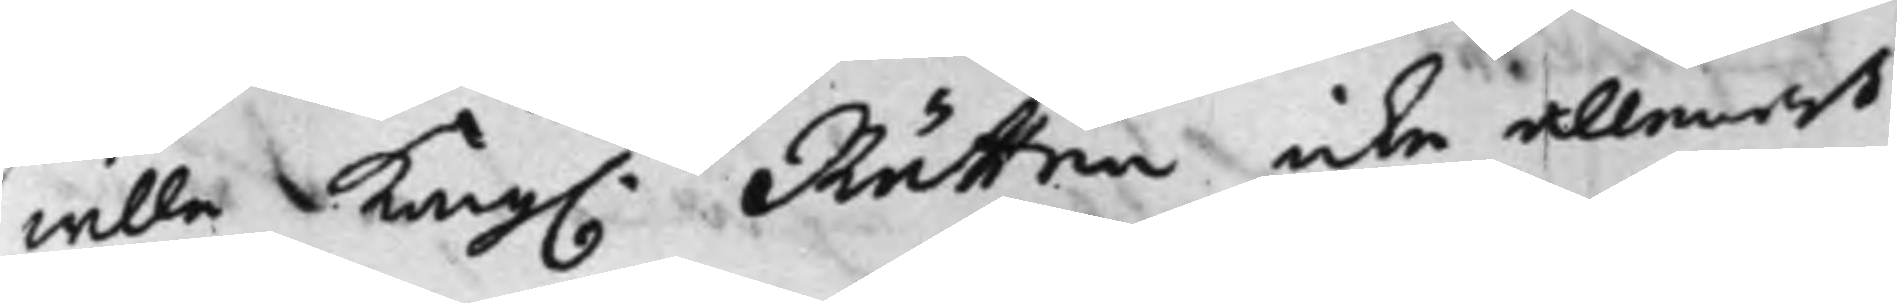wille Kong. Rätten icke allenast
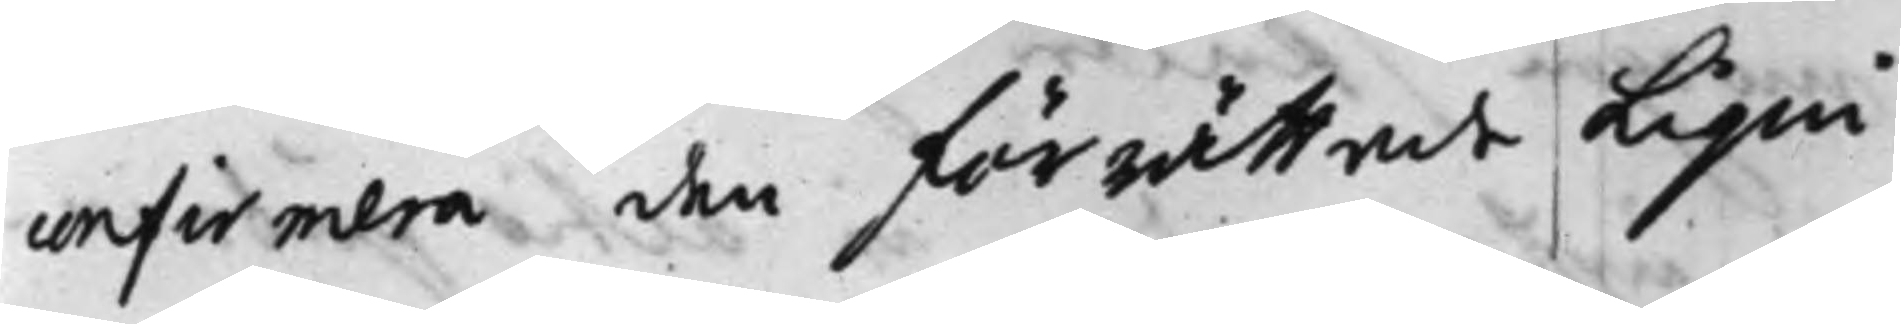confirmera den förrättade Liqui¬
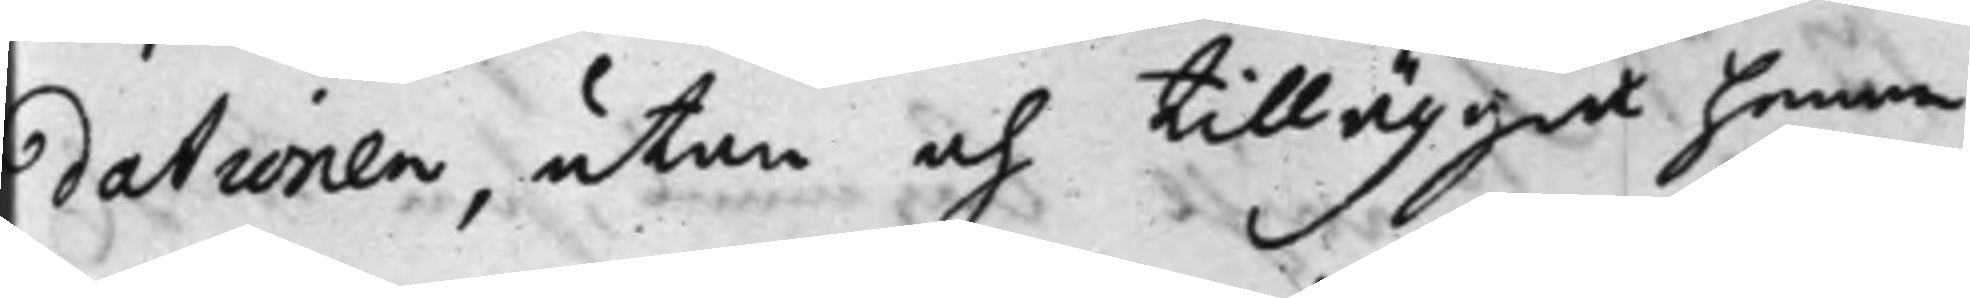dationen, utan och tilläggia honom
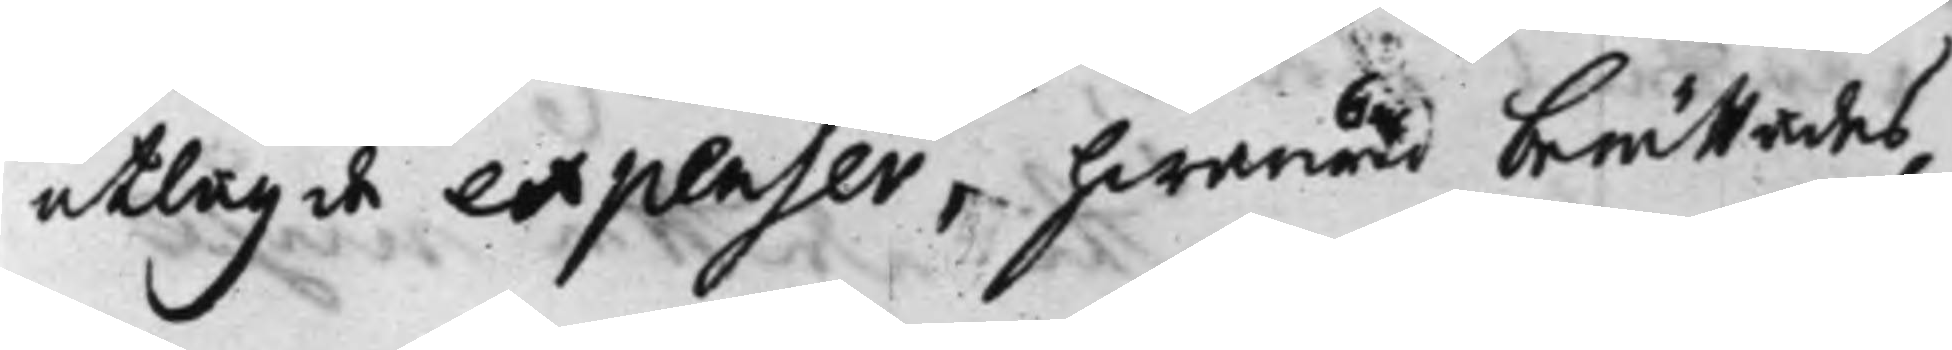utlagde expenser, hwarwid berättades,
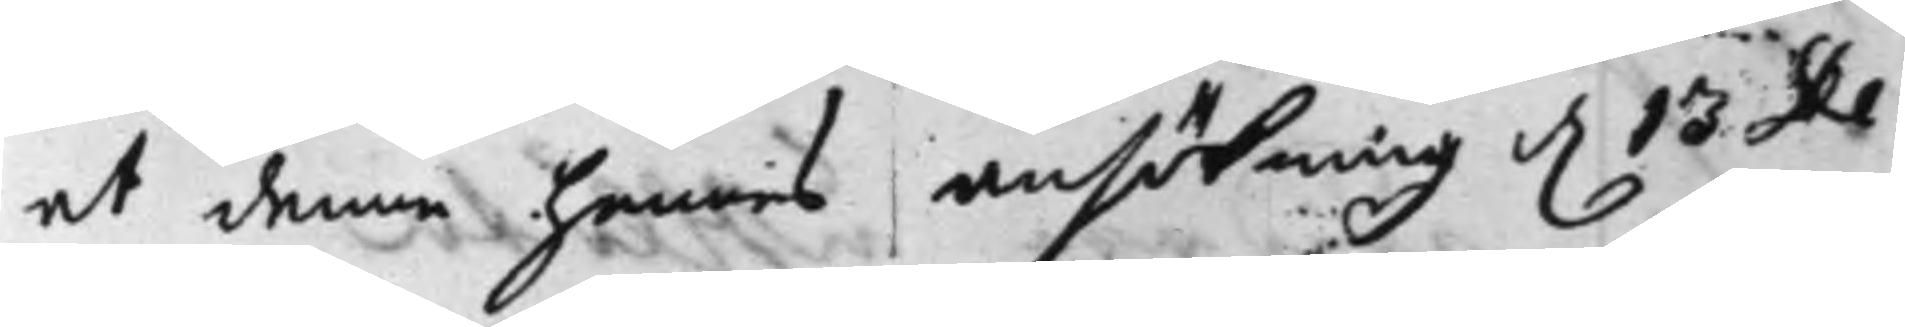at denne hennes ansökning d. 13 De¬
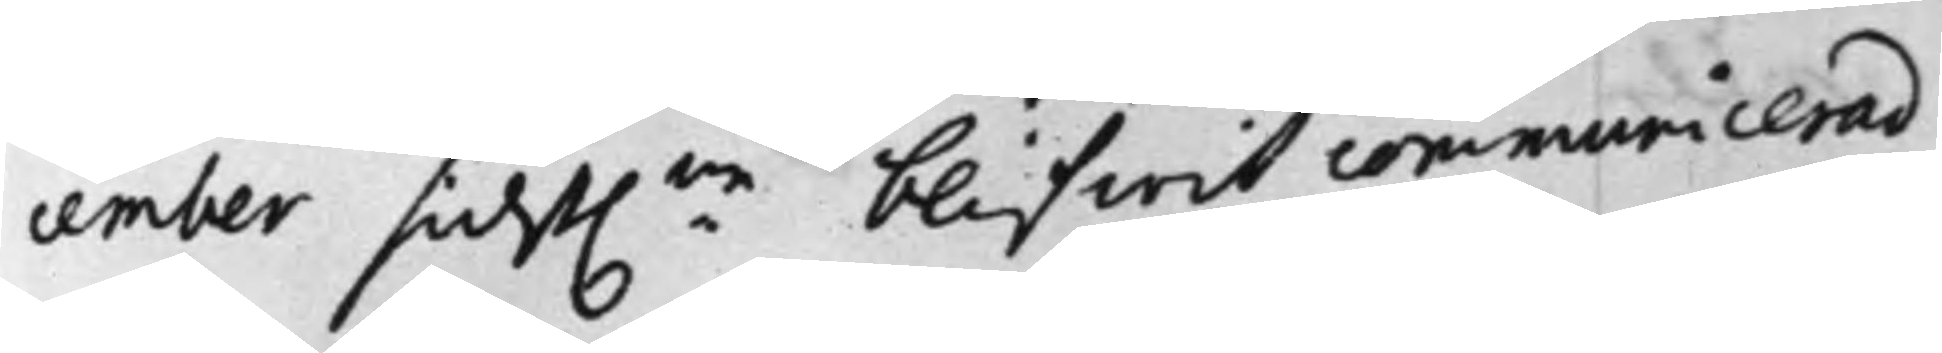cember sidst:ne blifwit communicerad
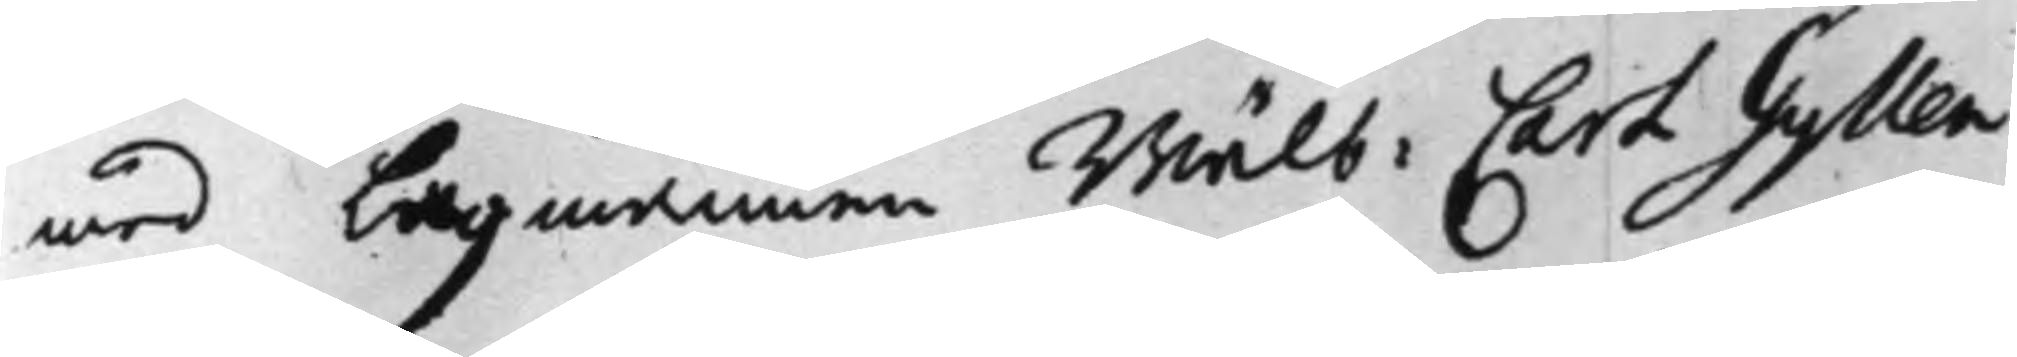med Lagmannen Wälb: Carl Gyllen¬
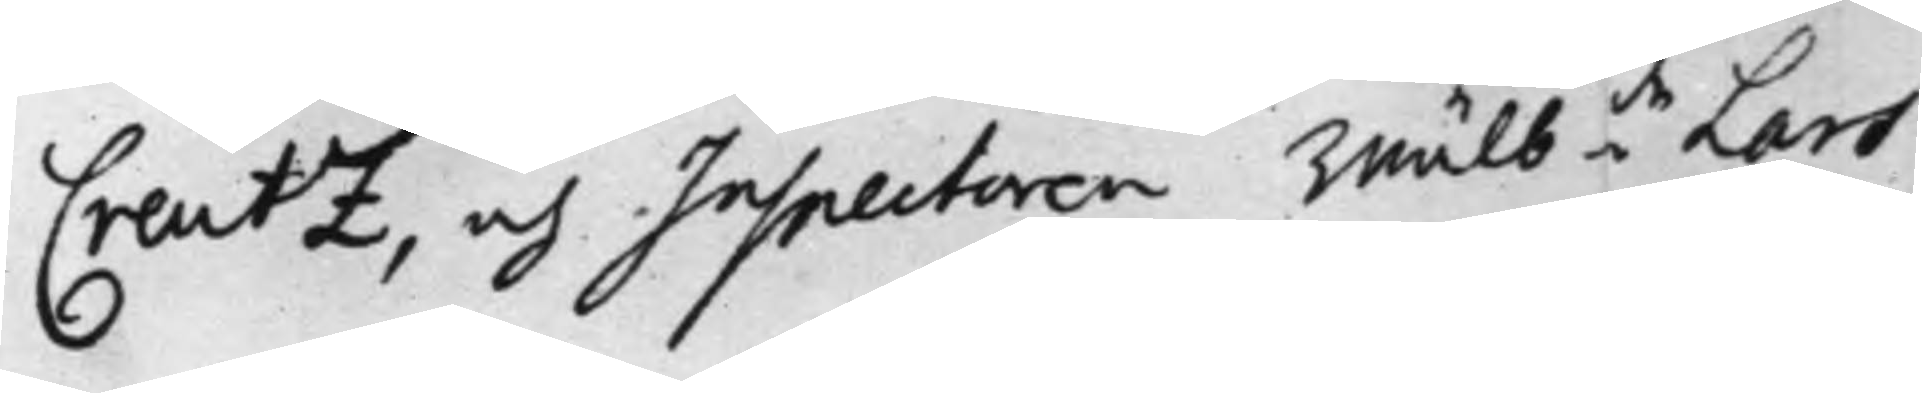Creutz, och Inspectoren Wälb:de Lars
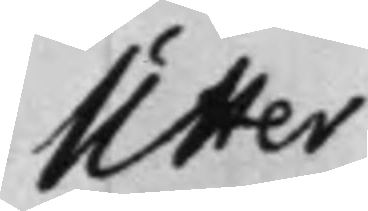Utter
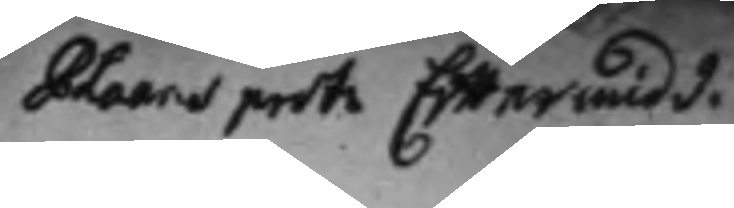Plaans prot. Efftermidd.
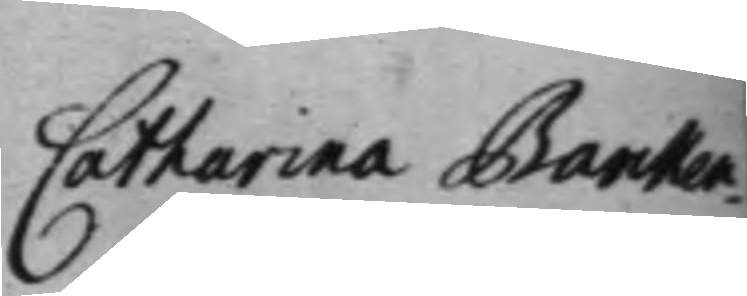Catharina Barken¬
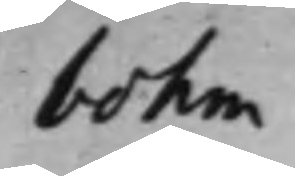bohm
